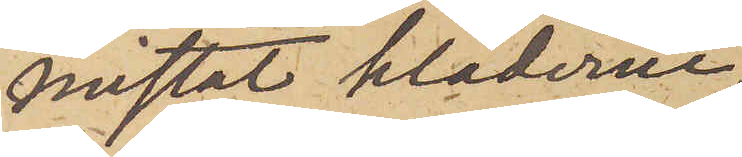mistat kläderne,
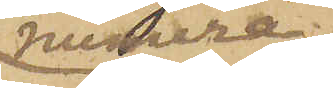numera
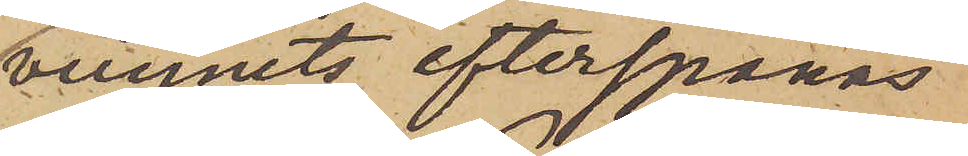vunnits, efterspanas
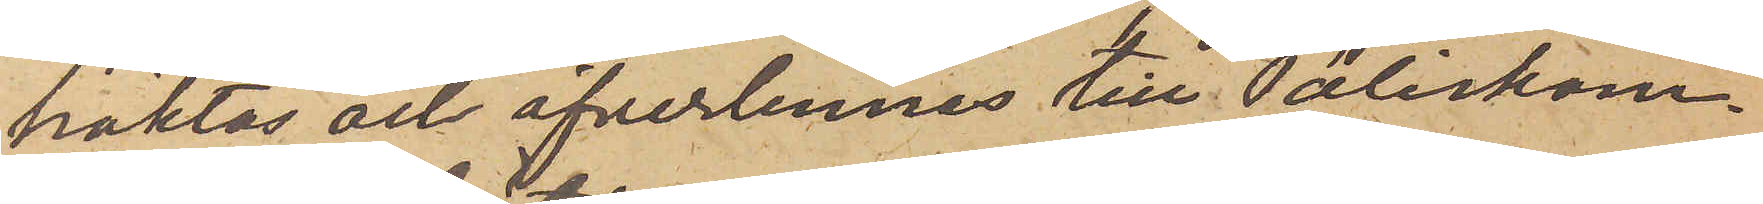häktas och öfverlemnas till Poliskam¬
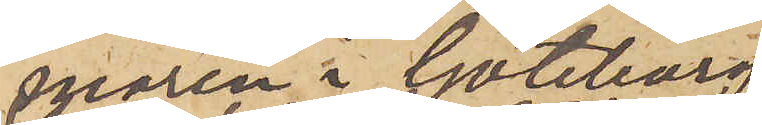maren i Göteborg.
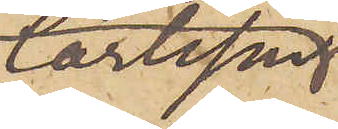Carlsson
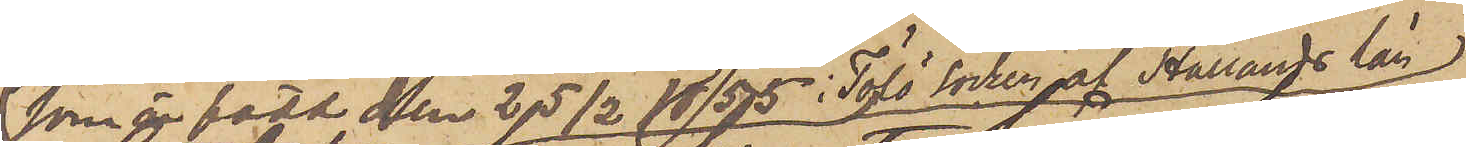som är född den 25/2 1855 i Tölö socken af Hallands län
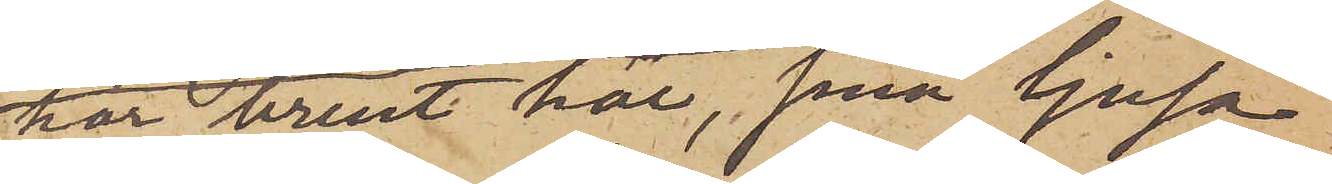har brunt hår, små ljusa
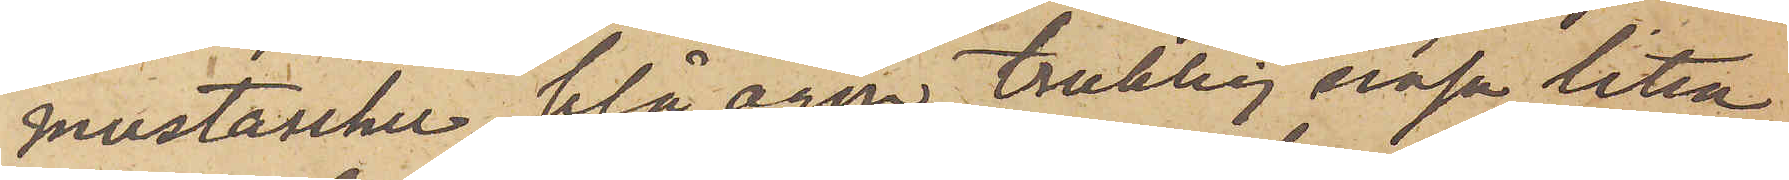mustascher, blå ögon, trubbig näsa, liten
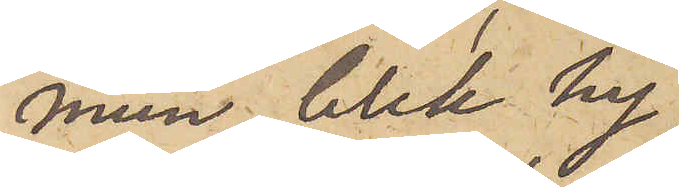mun, blek hy
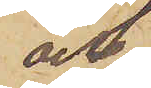och
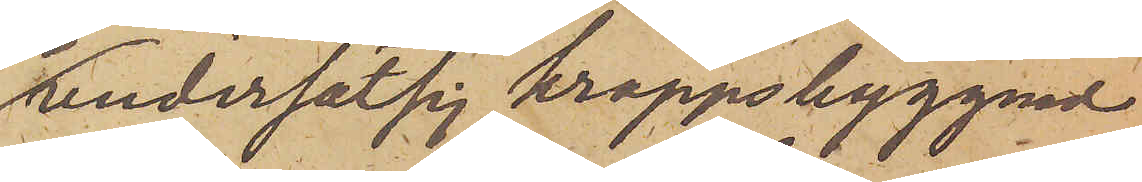undersätsig kroppsbyggnad
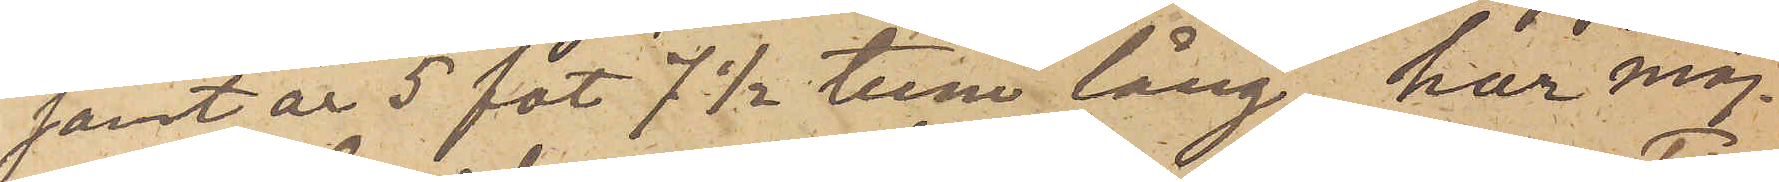samt är 5 fot 7 1/2 tum lång, har möj¬
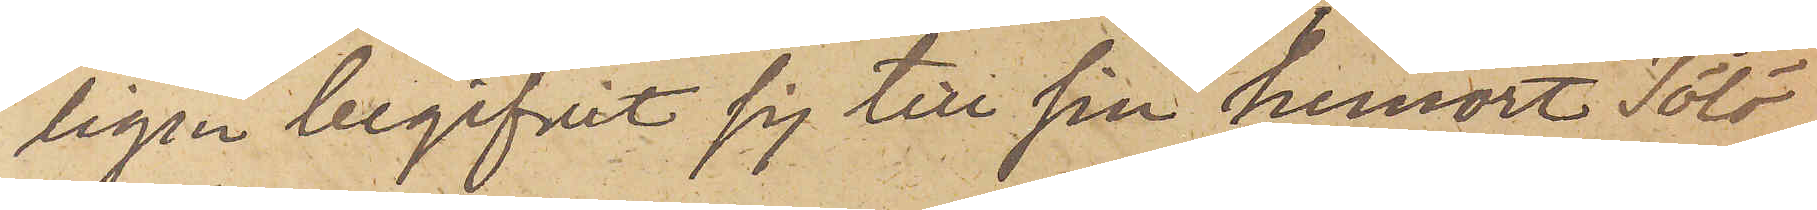ligen begifvit sig till sin hemort Tölö
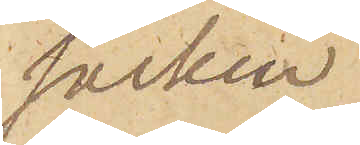socken
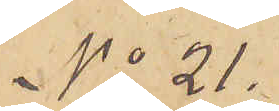No 21.
